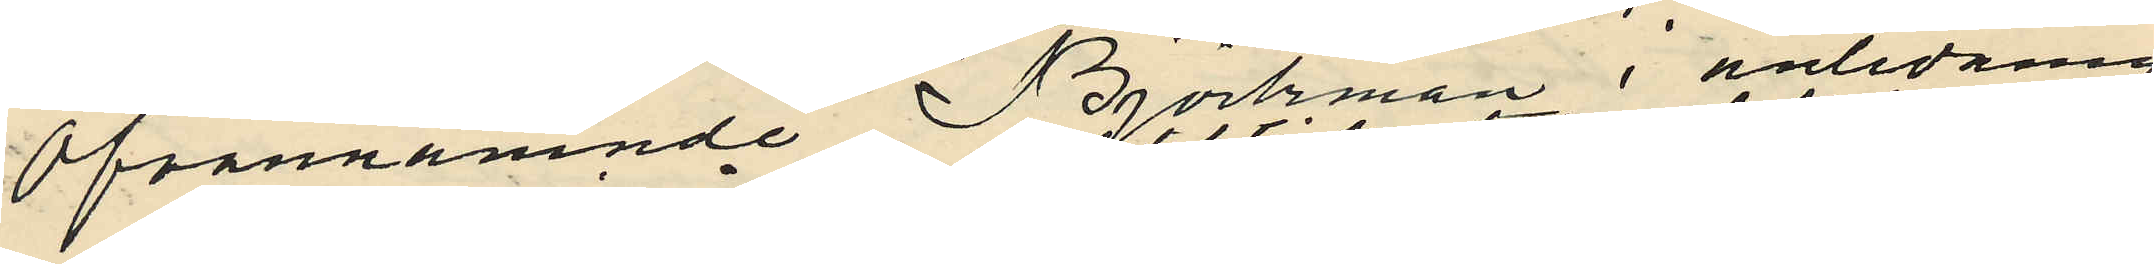Ofvannämnde Björkman i anledning
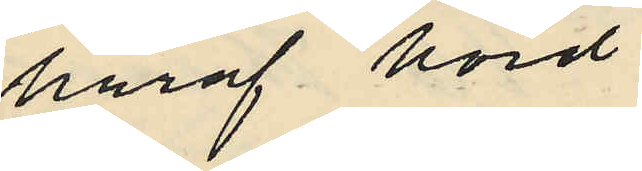häraf hörd
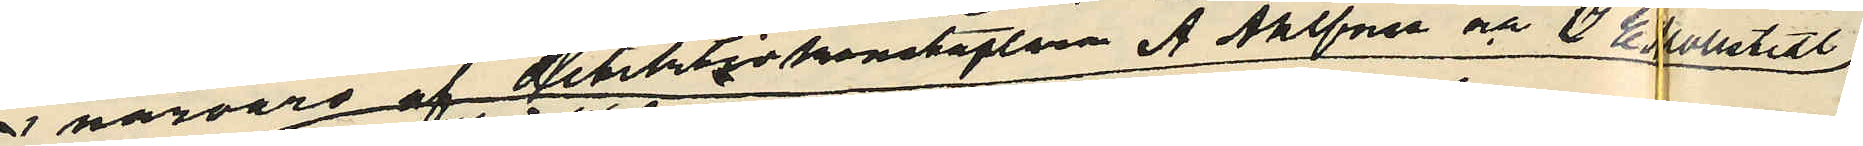i närvaro af detektivkonstaplarne A Ahlforss och J E Mollstedt,
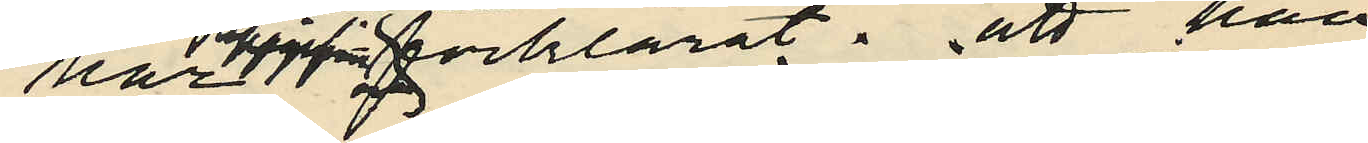har uppgifvit och förklarat: att han
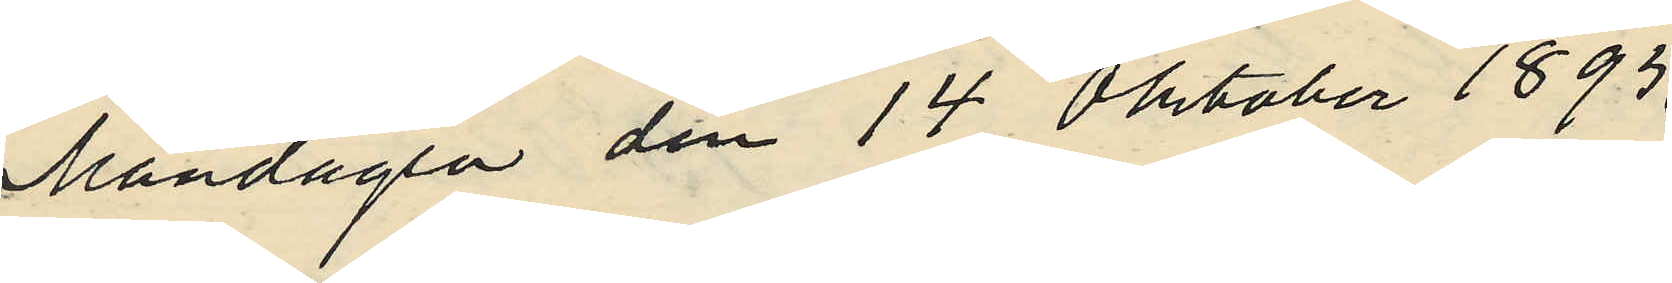Måndagen den 14 Oktober 1895
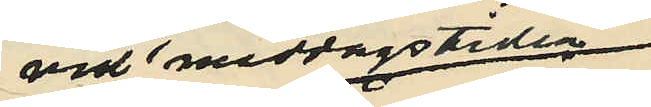vid middagstiden
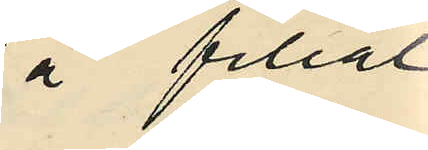å filial
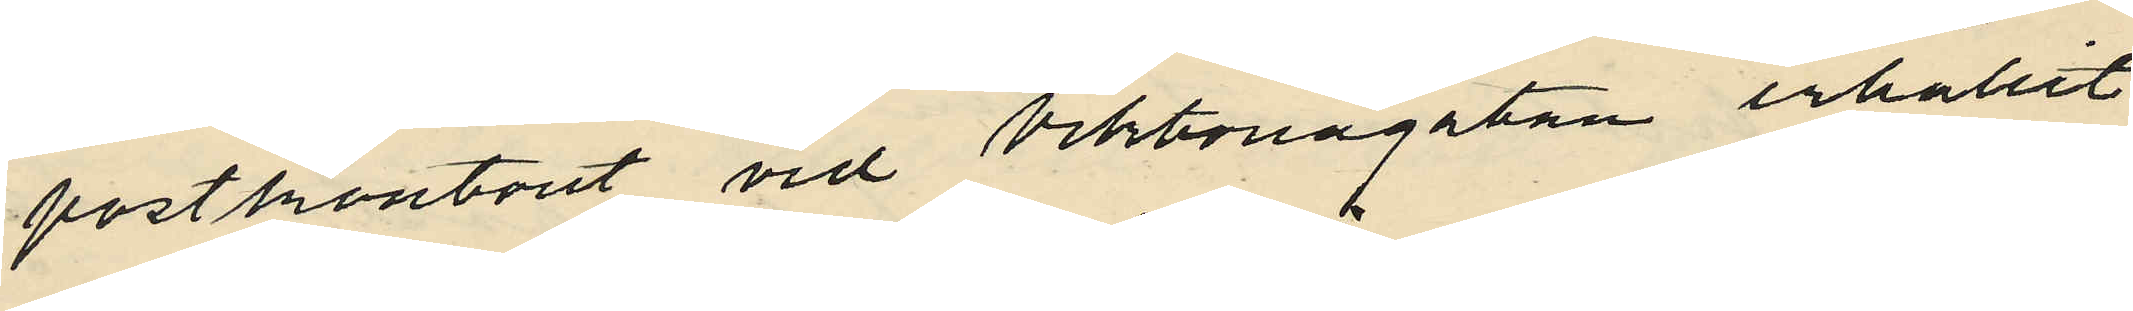postkontonet vid Viktoriagatan erhållit
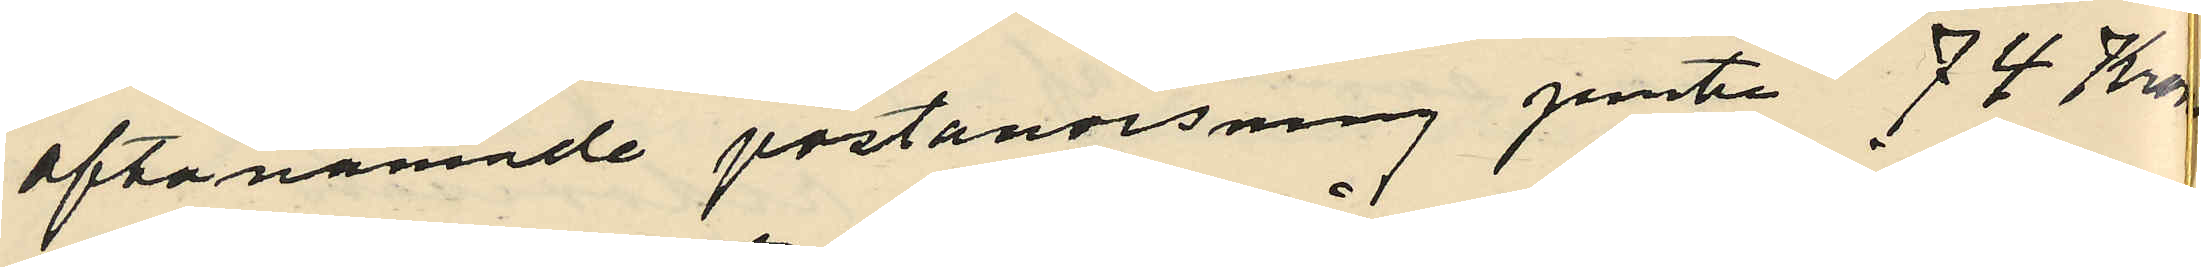oftanämnde postanvisning jemte 74 Kronor
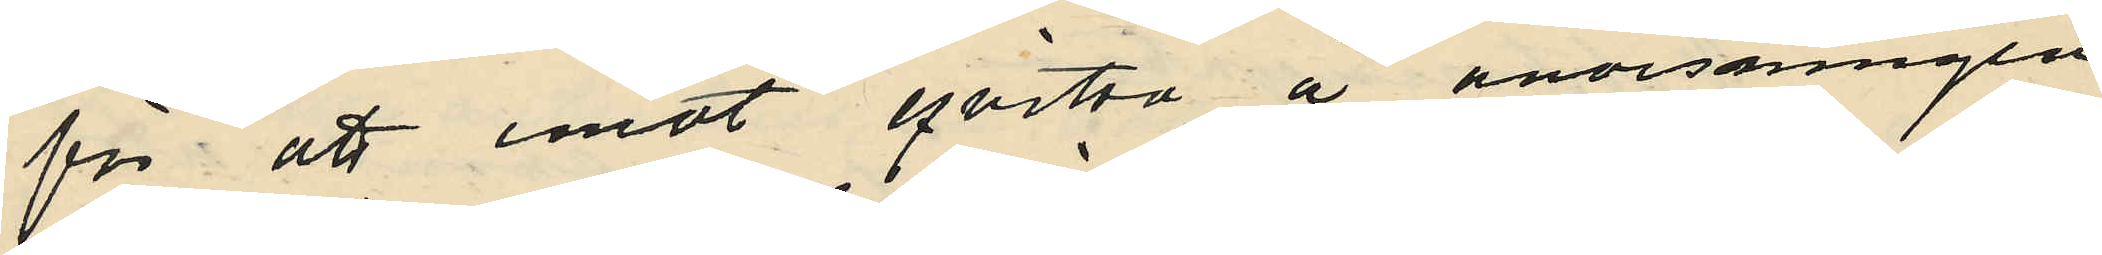för att emot qvitto å anvisningen
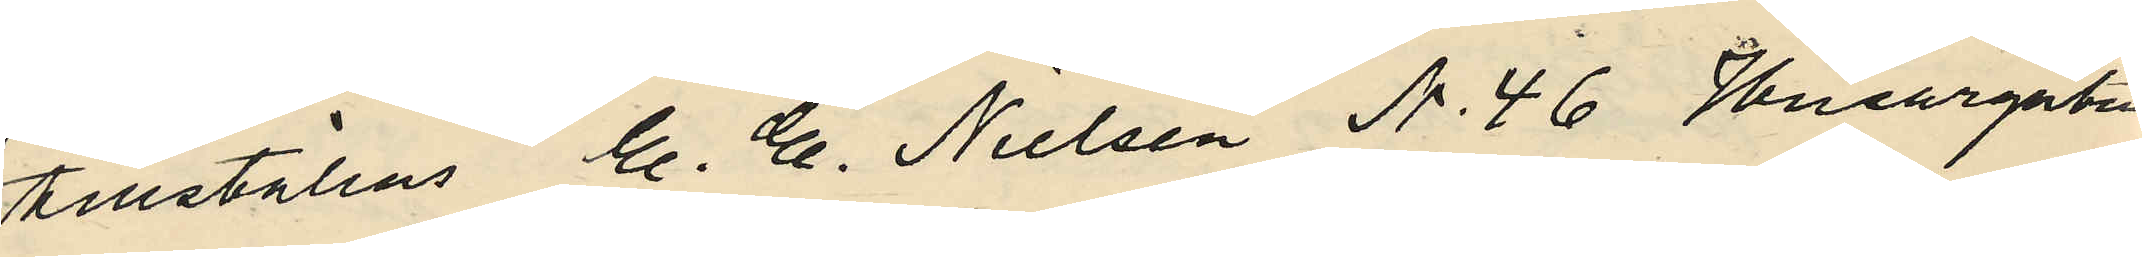tillställas C. E. Nielsen N. 46 Husargatan
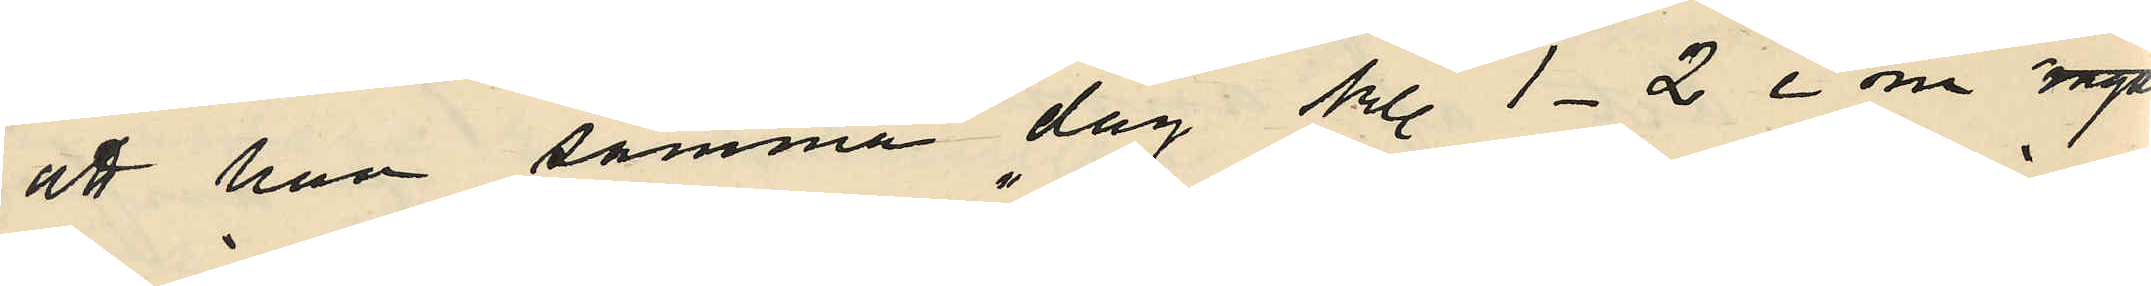att han samma dag kl. 1-2 e m ingått
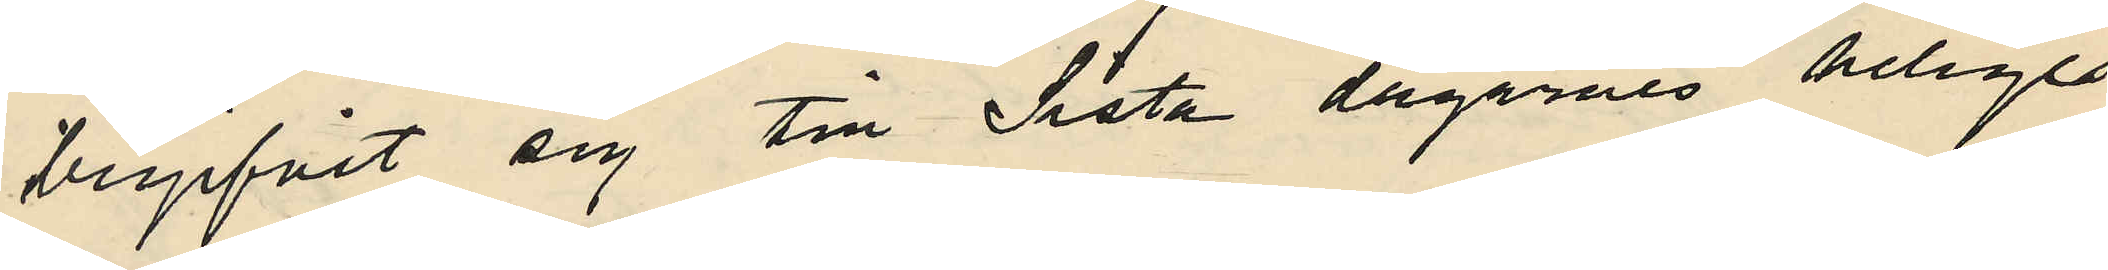begifvit sig till "Sista dagarnes heliges"
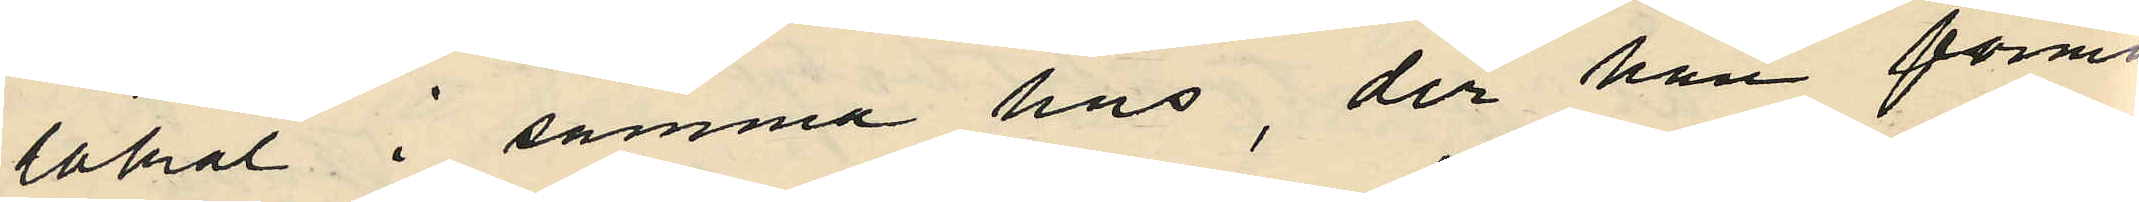lokal i samma hus, der han förmo¬
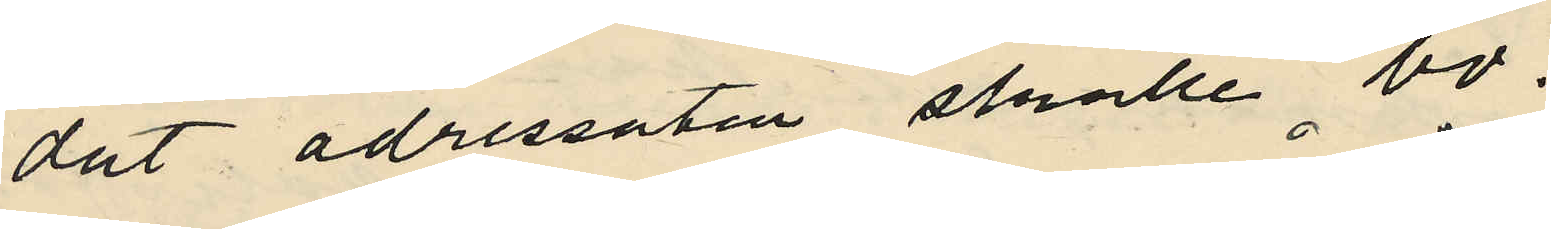dat adressaten skulle bo.
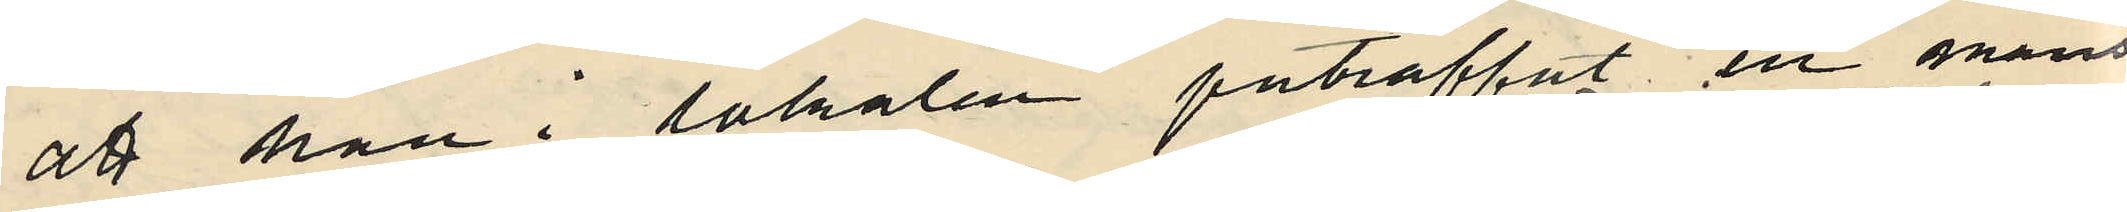att han i lokalen påträffat en mans
